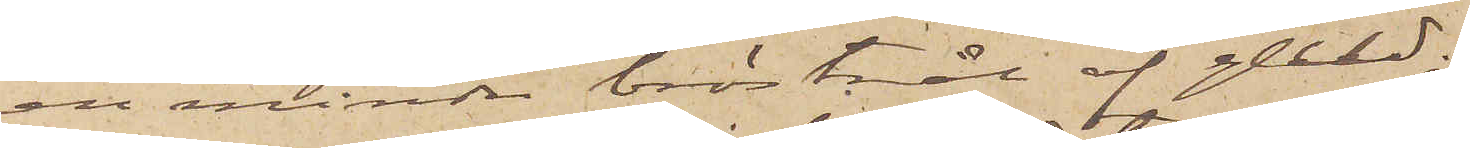en mindre bröstnål af guld;
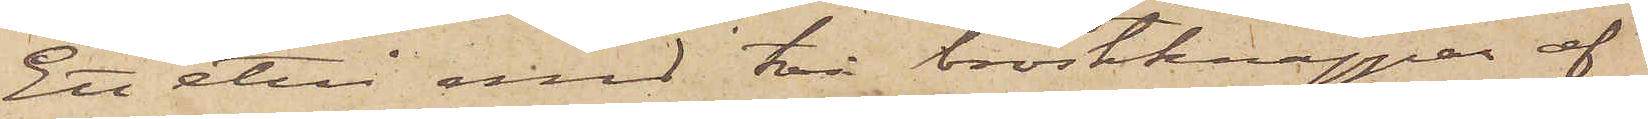Ett etui med två bröstknappar af
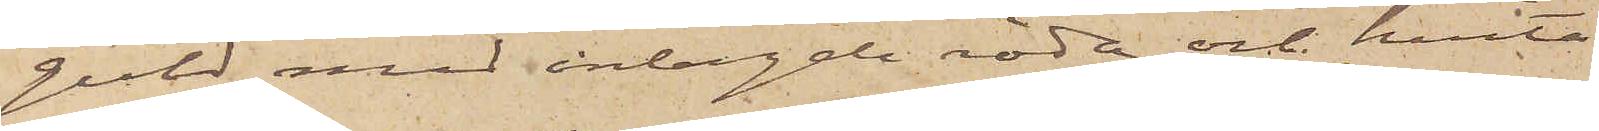guld med inlagda röda och hvita
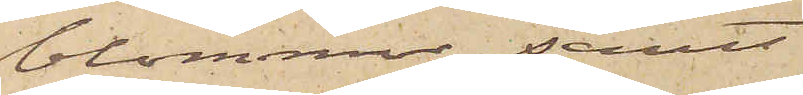blommor, samt
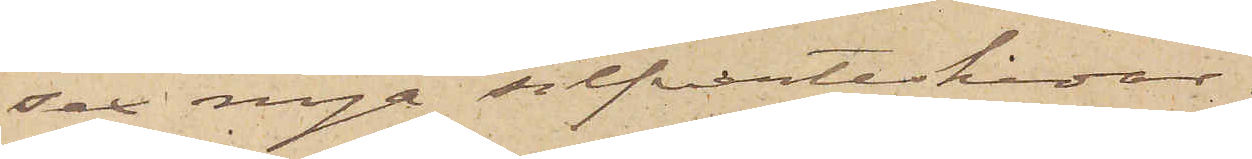sex nya silfverteskedar.
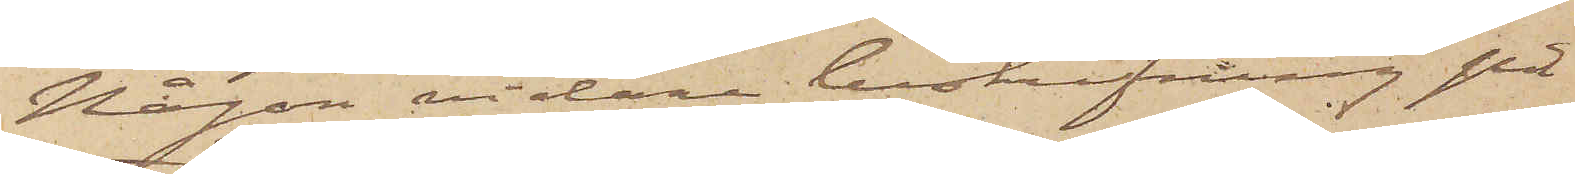Någon vidare beskrifning på
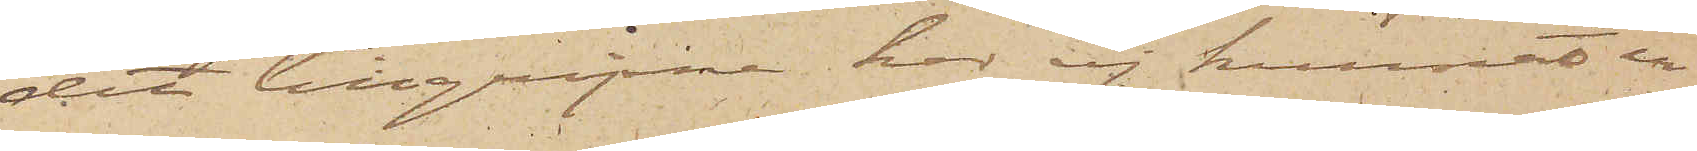det tillgripne har ej kunnat er¬
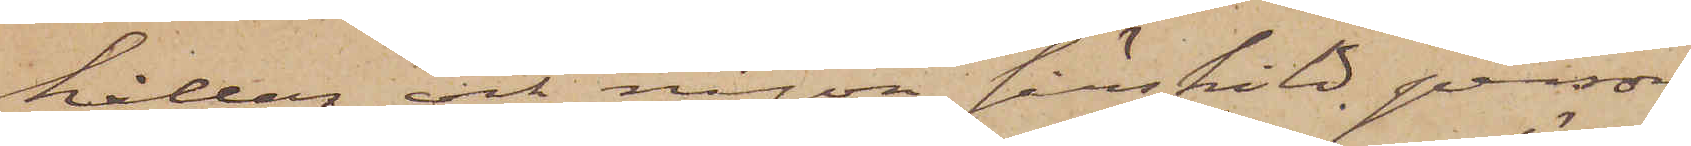hållas och någon särskild person
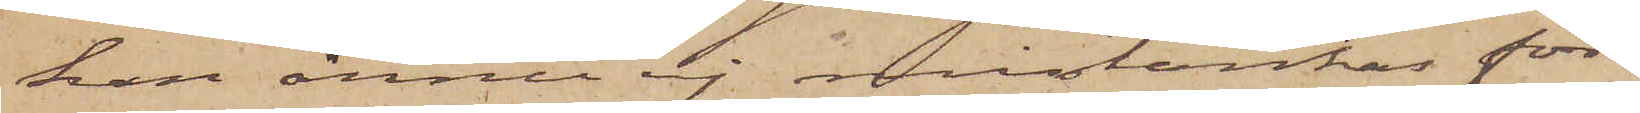kan ännu ej mistänkas för
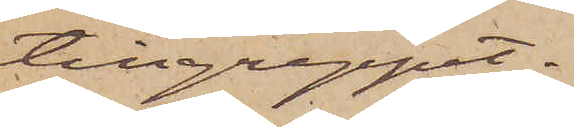tillgreppet.
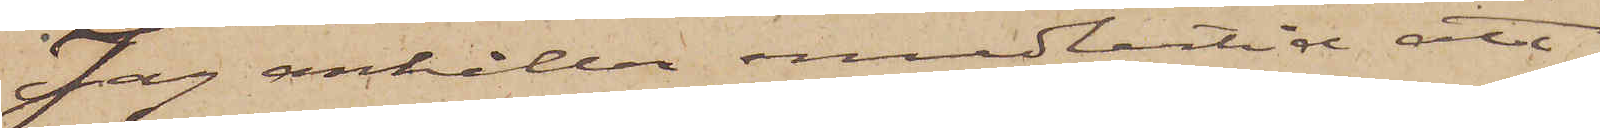Jag anhåller emedlertid att
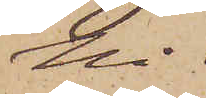Ni
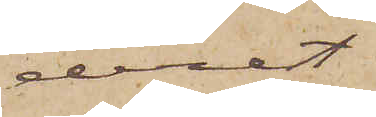derest
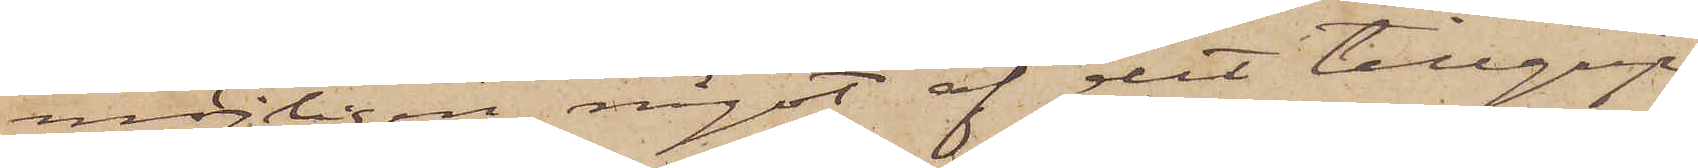möjligen något af det tillgrip¬
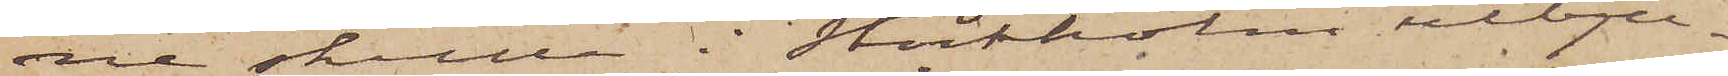ne skulle i Stockholm utbju¬
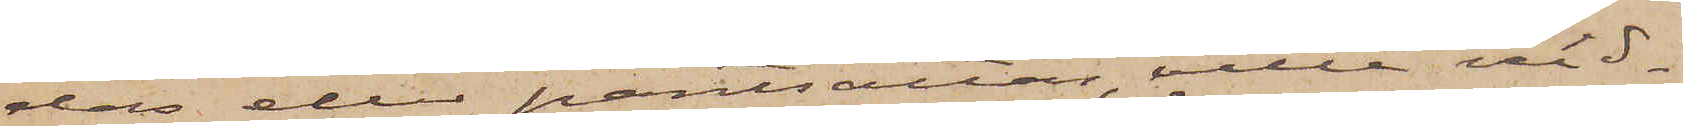das eller pantsättas, ville vid¬
